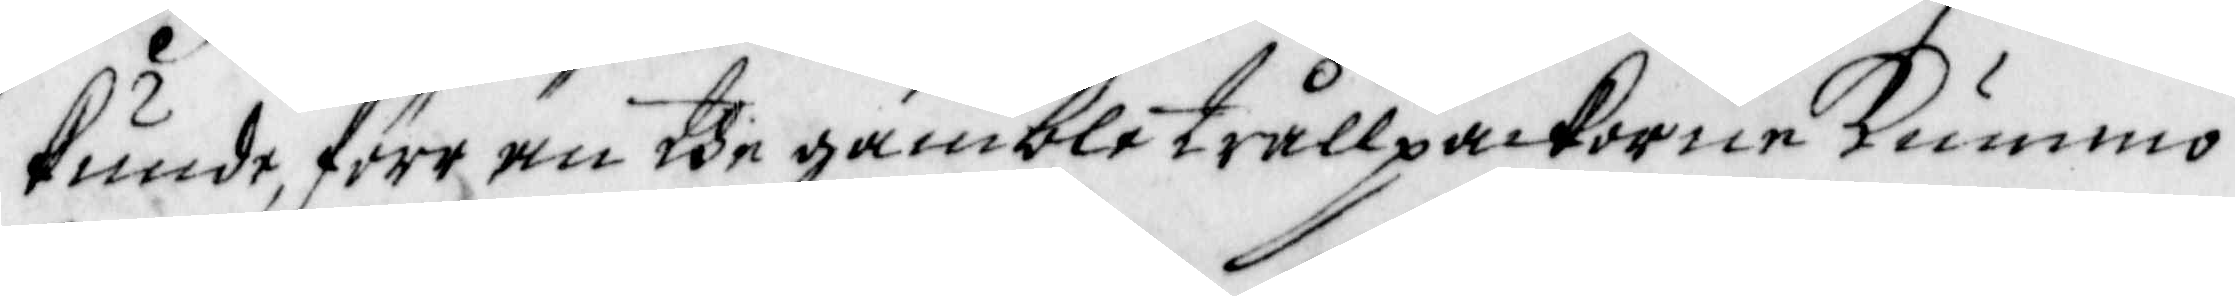kunde, förr än the gamble trållpackorne Kummo 
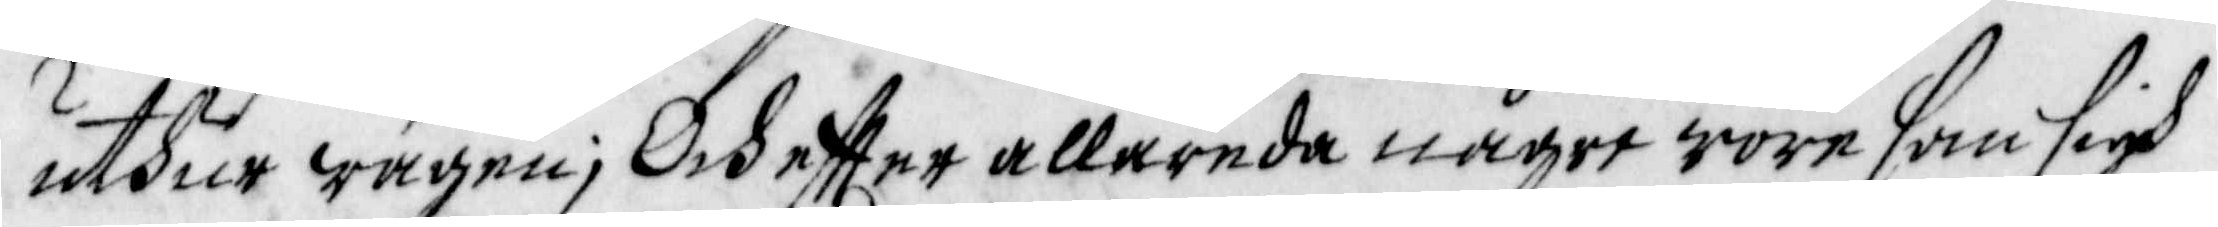uthur wägen; Och effter allareda någre wore som sigh 
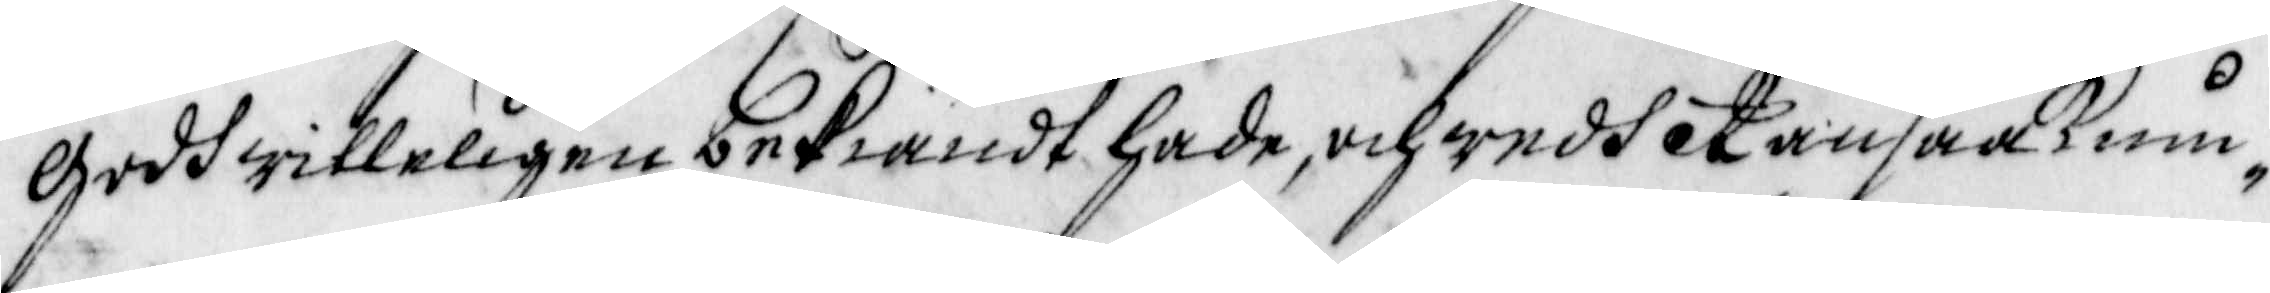godhwilleligen bekiändt hade, och wedh Ransaaknin¬
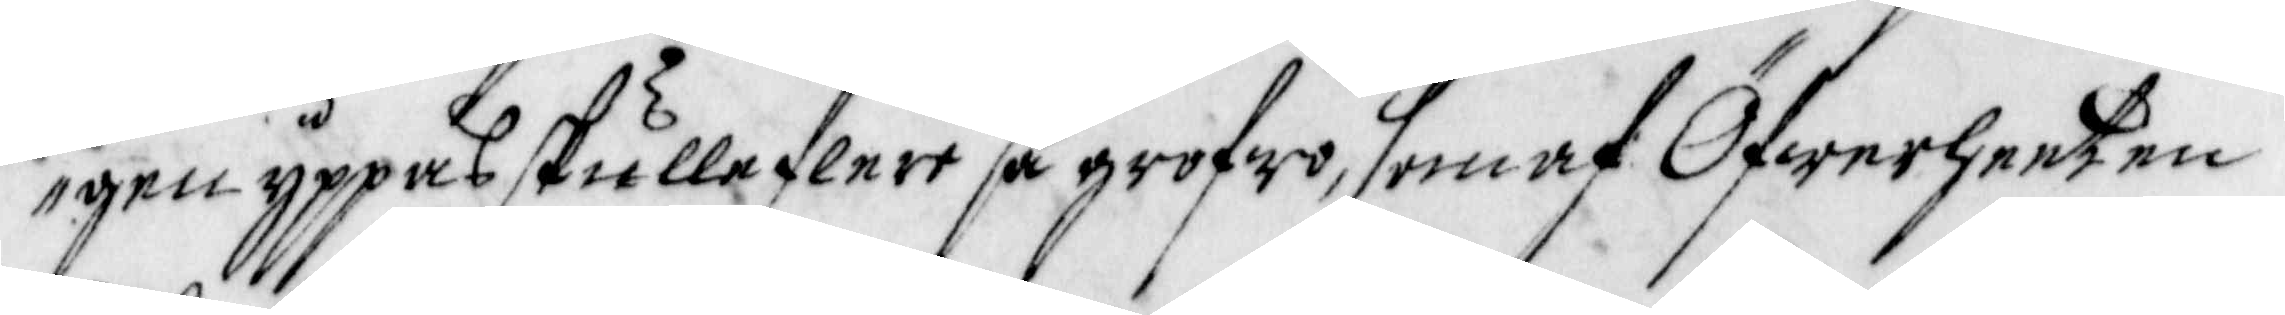gen yppas skulle flere så grofwo, som af Öfwerheeten
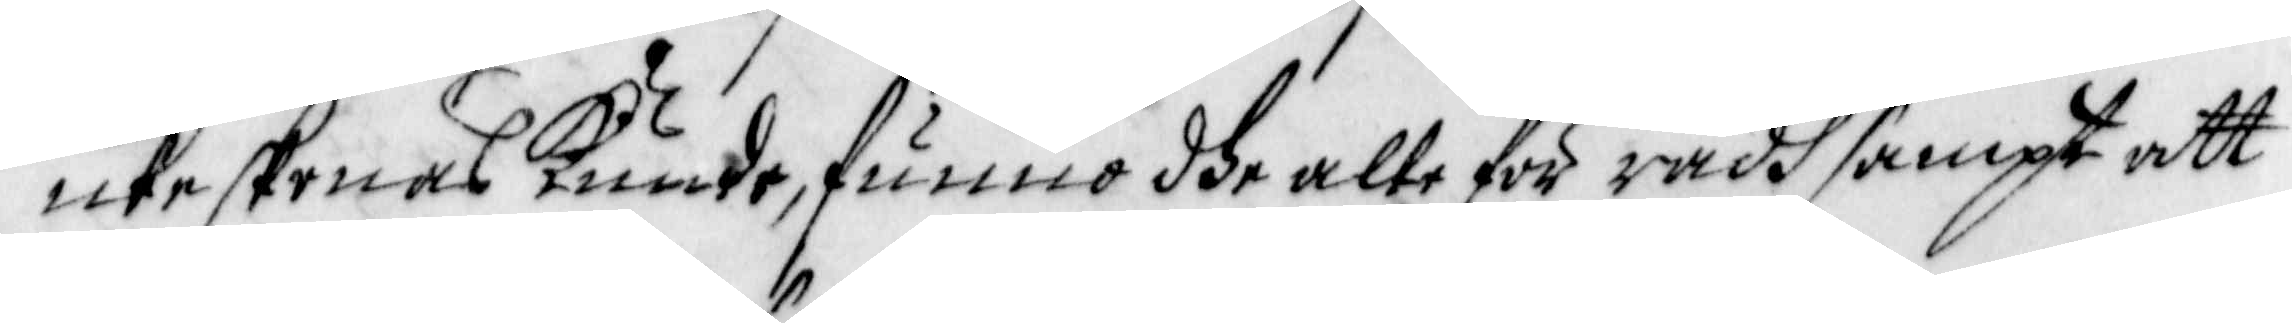icke skonas Kunde, funno dhe alle för rådh sampt att
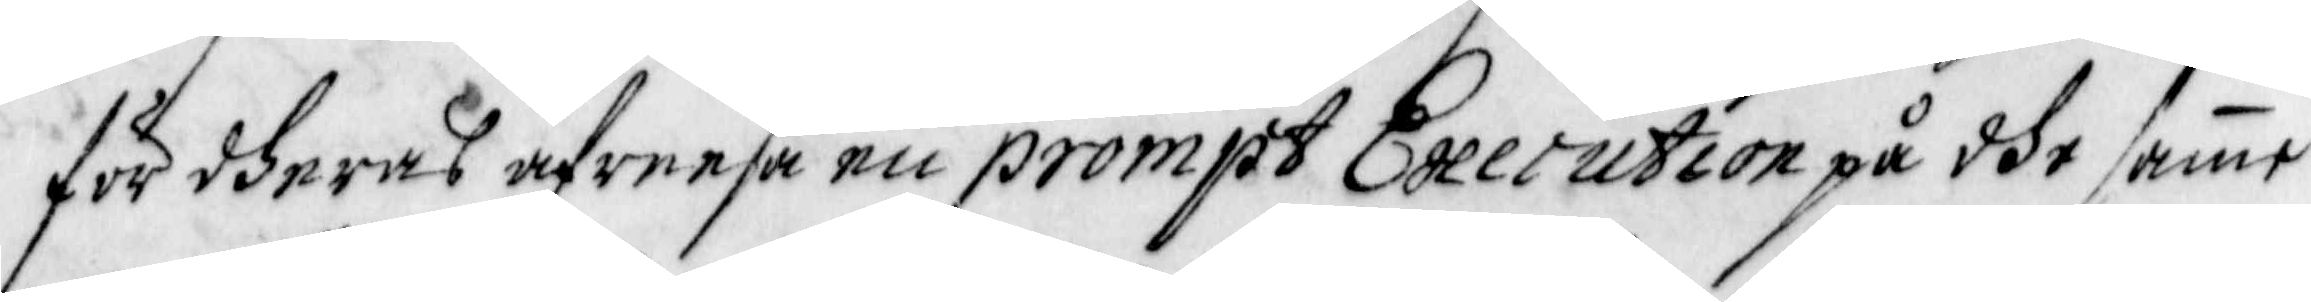för dheras afreesa en prompt Execution på dhe samme
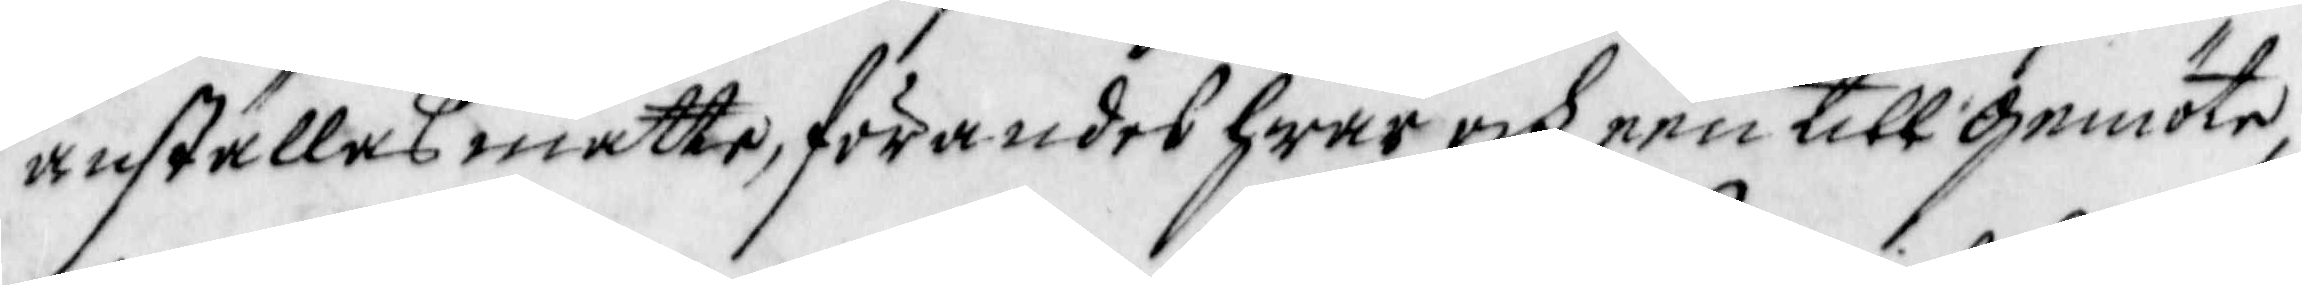anställas måtte, förandes hwar och een till gemöte,
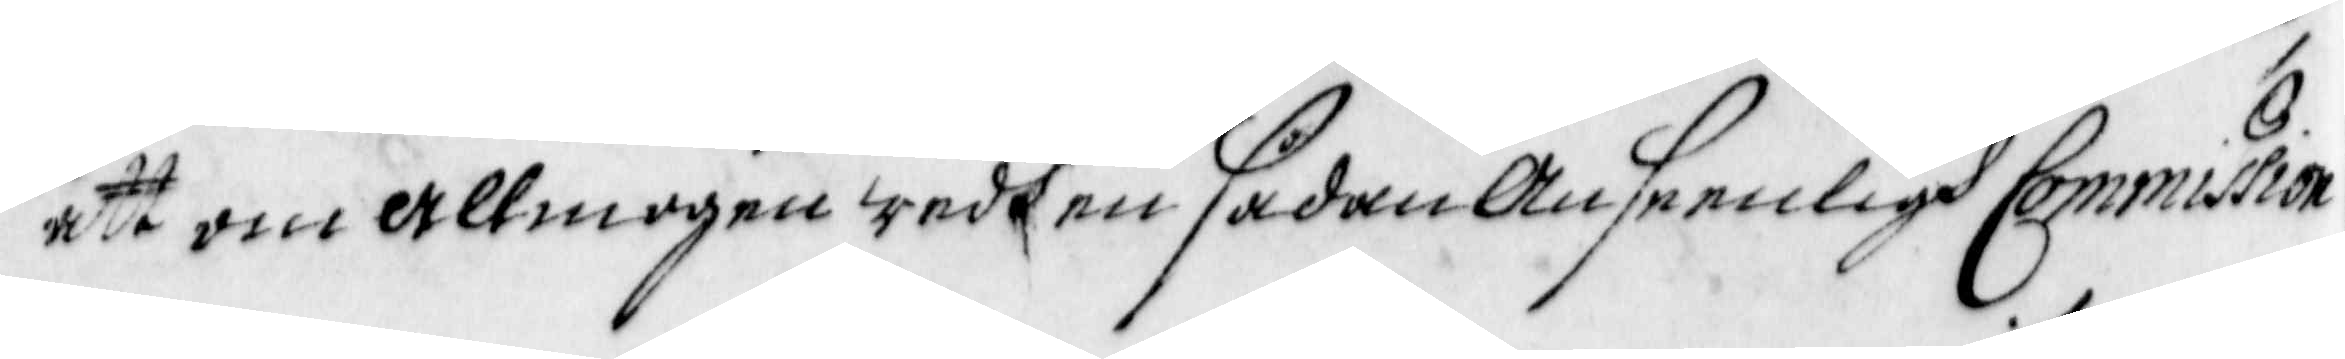att om Allmogen wedh en sådan Anseenligh Commission 
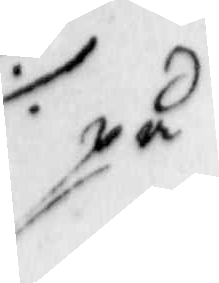på
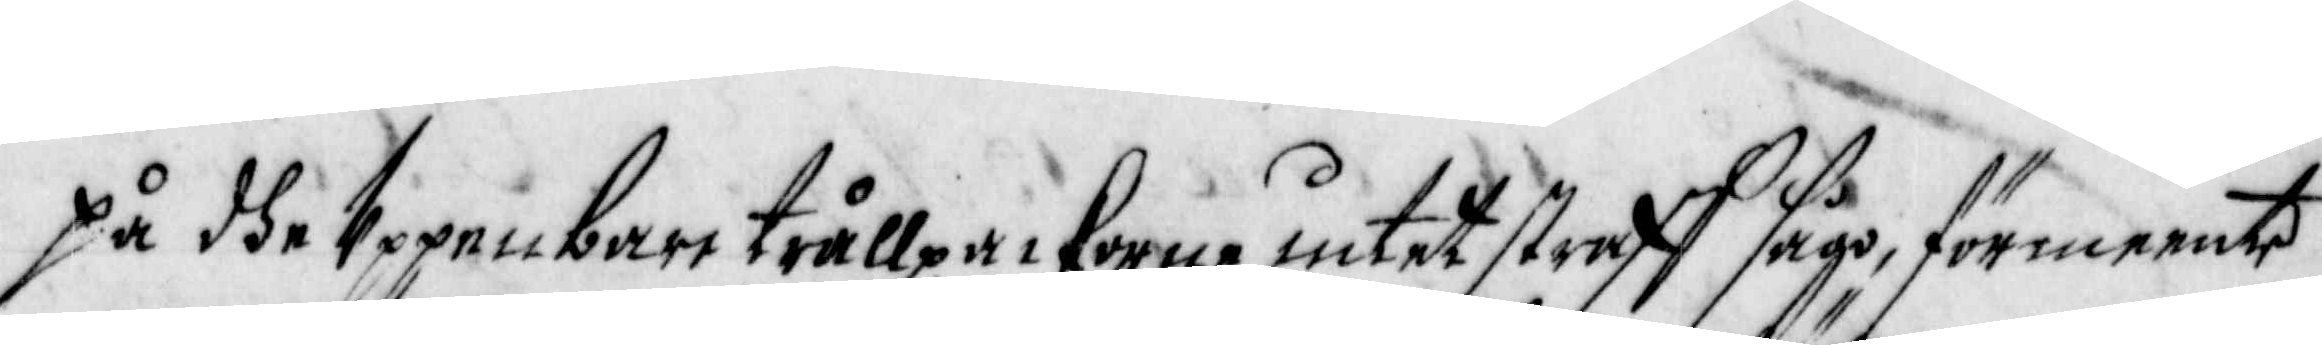på dhe Uppenbara trållpackorne intet straff sågo, förmeente
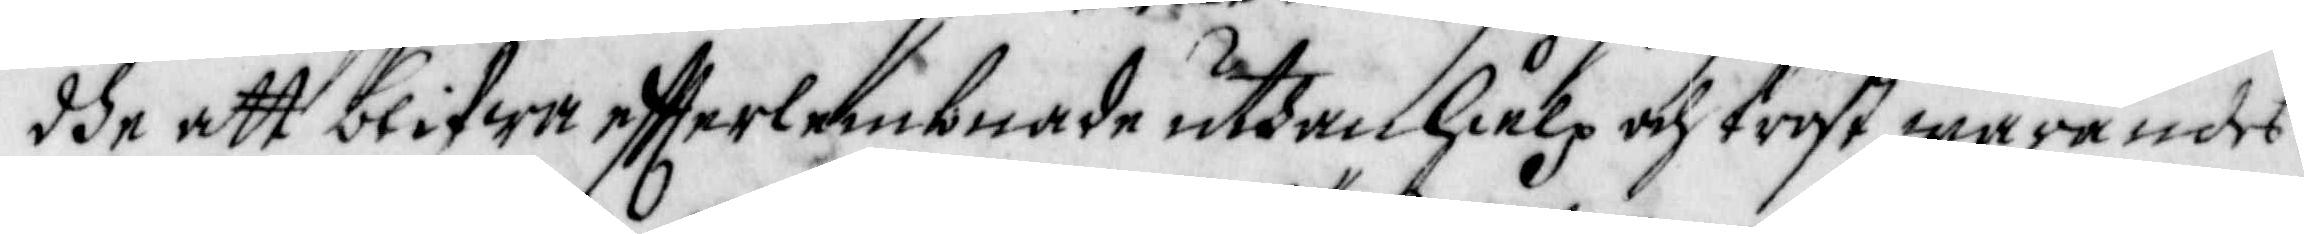dhe att blifwa effterlembnade uthan hielp och tröst, warandes
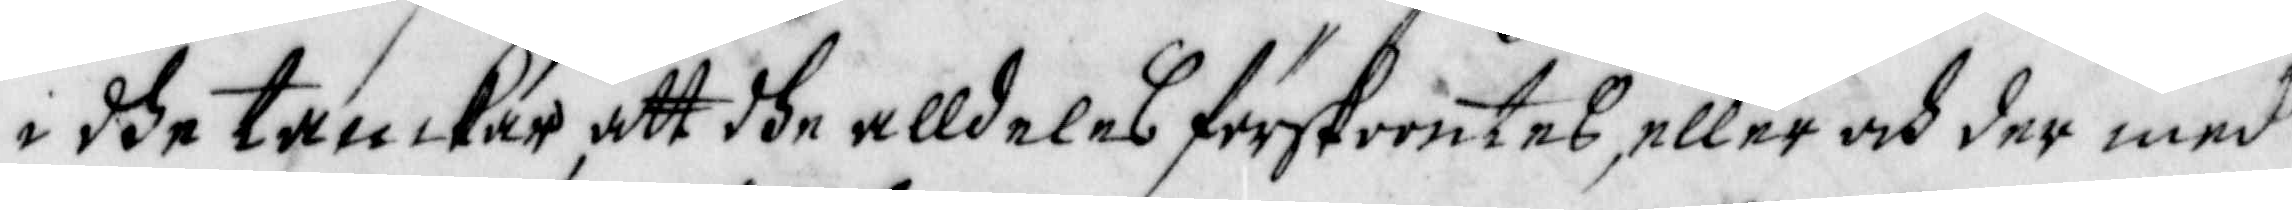i dhe tanckar att dhe alldeles förskoontes, eller och der med
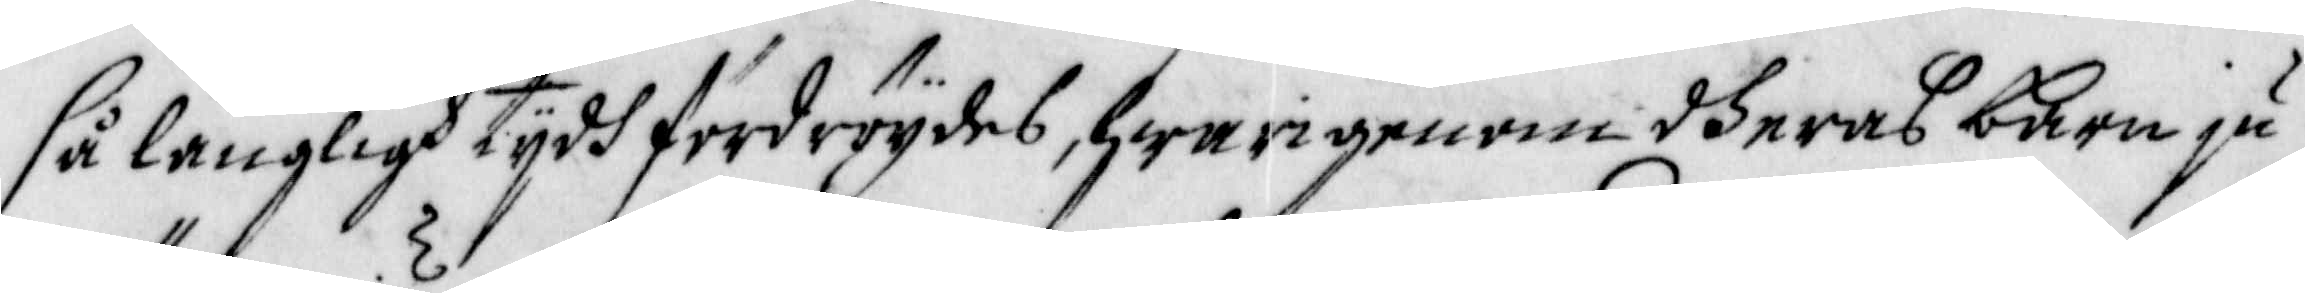så långligh tijdh fordröijdes, hwarigenom dheras barn ju
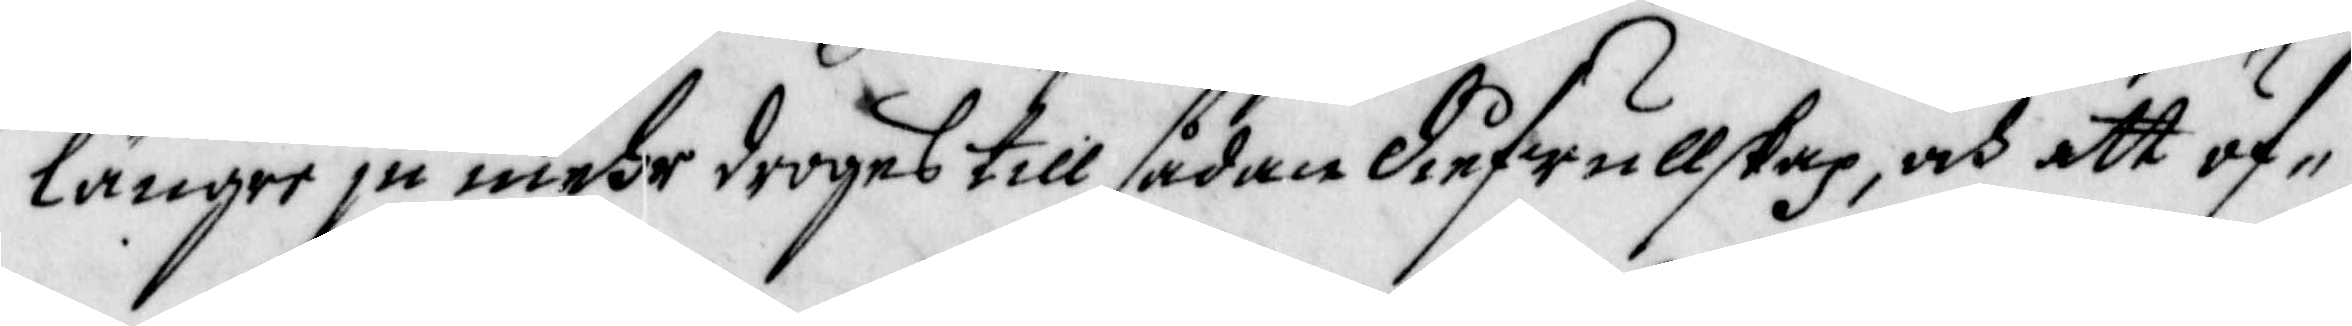längre ju mehr droges till sådan diefwullskap, och att öf¬
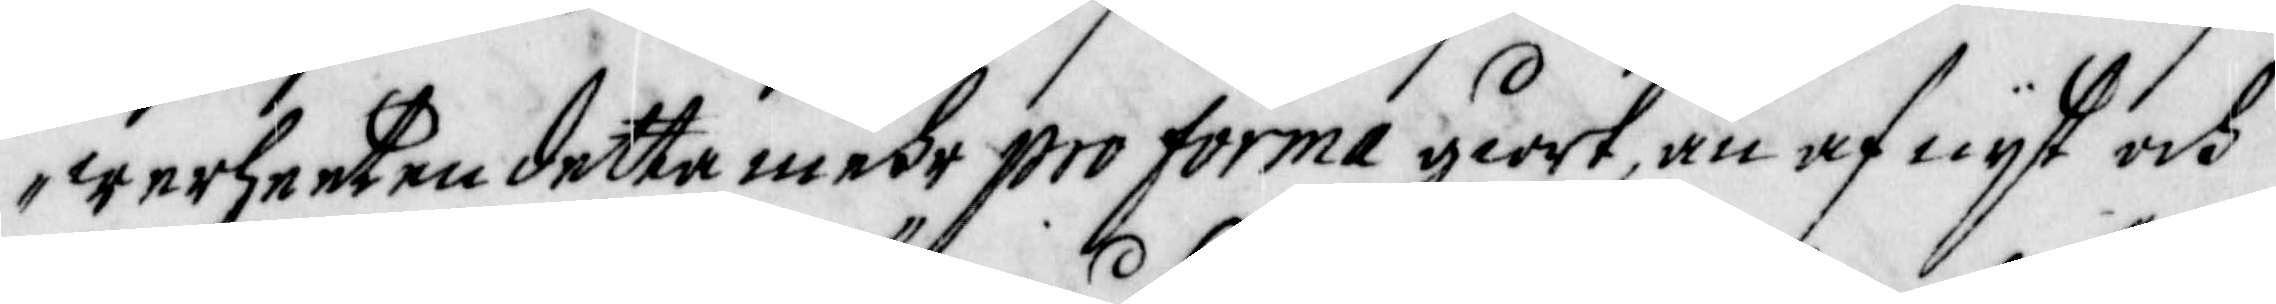werheeten detta mehr pro forma giort, än af nijt och
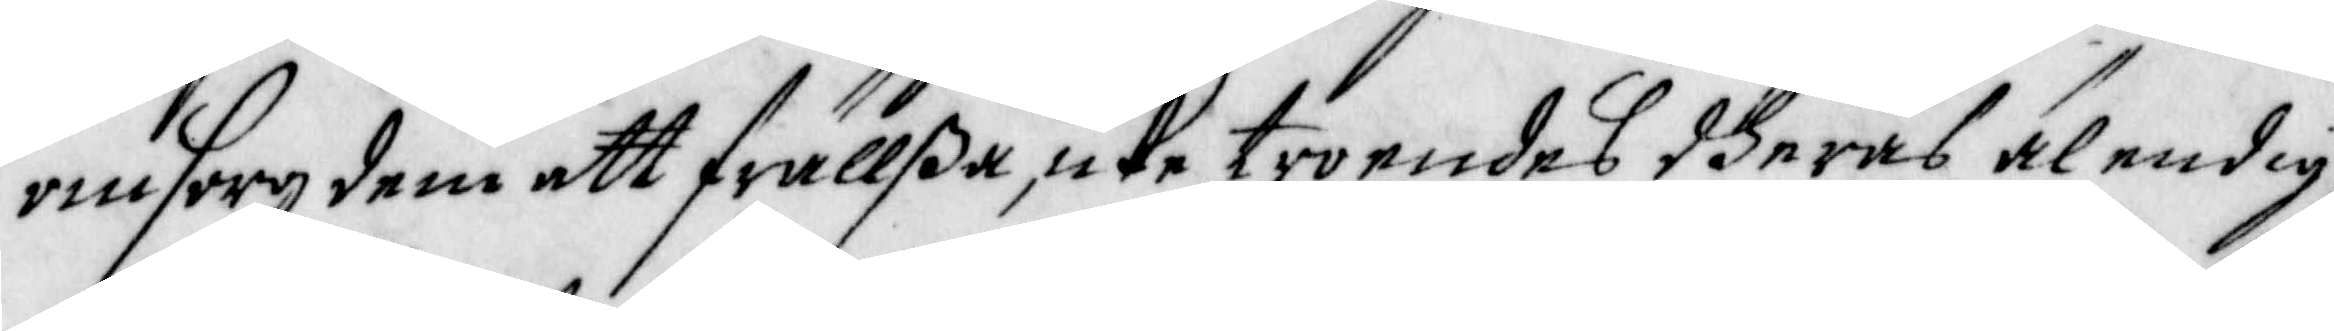omsorg dem att frällßa, icke troendes dheras älendig¬
